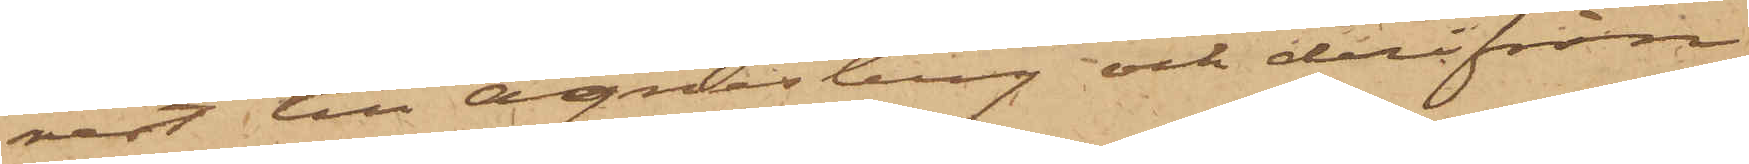rest till Agnesberg och derifrån
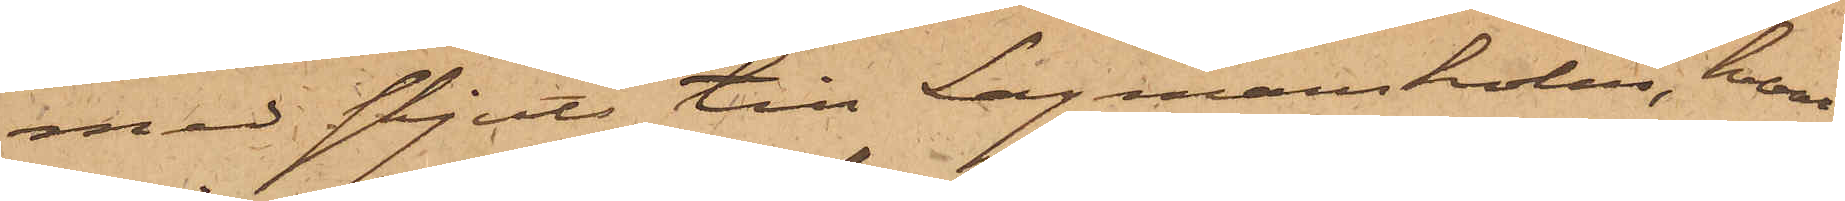med skjuts till Lagmansholm, hvari¬
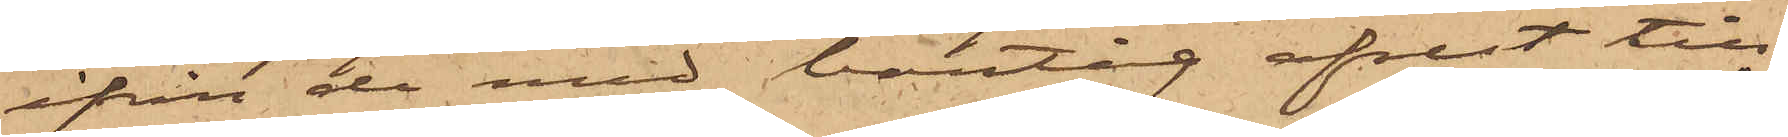ifrån de med bantåg afrest till
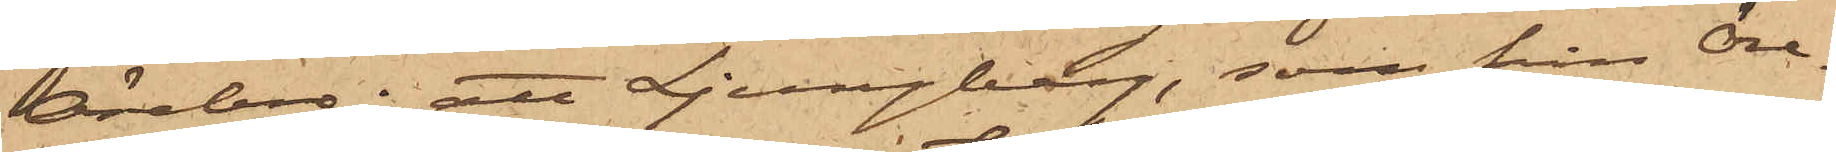Örebro; att Ljungberg, som från Öre¬
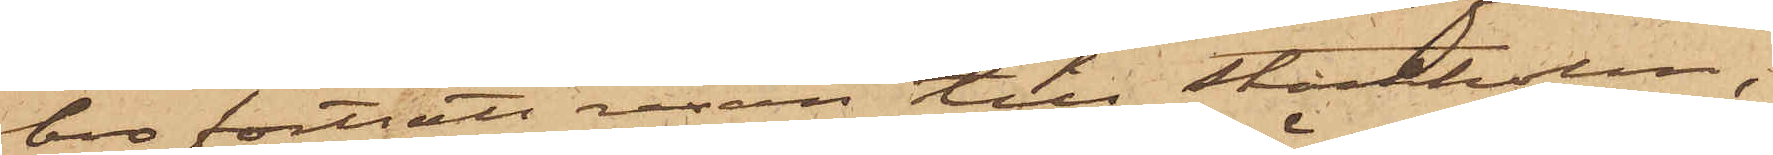bro fortsatt resan till Stockholm,
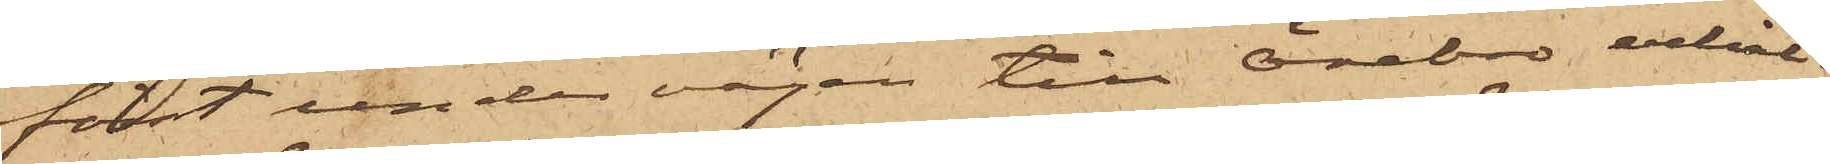först under vägen till Örebro erhål¬
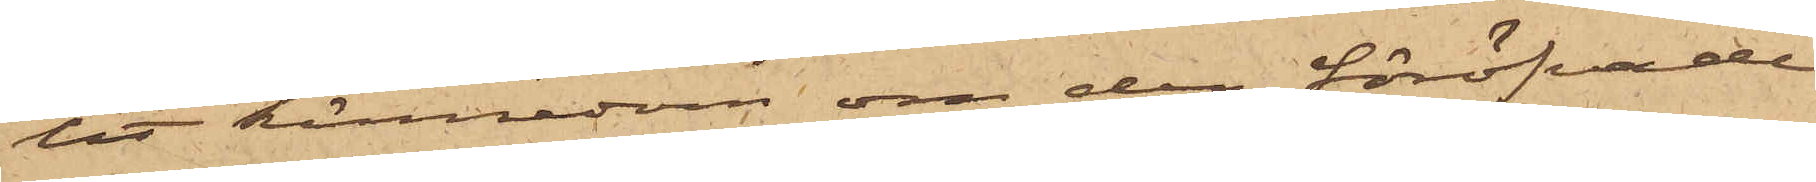lit kännedom om den föröfvade
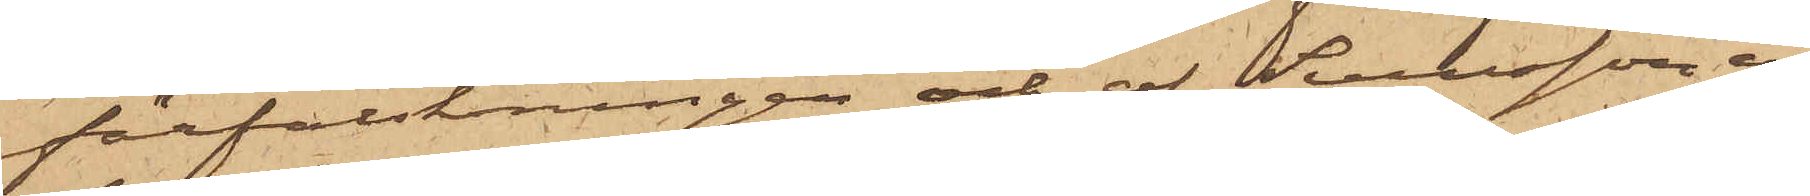förfalskningen och af Svensson er¬
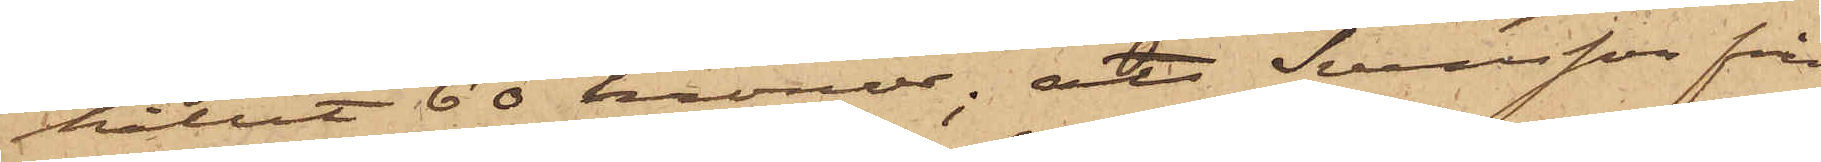hållit 60 kronor; att Svensson från
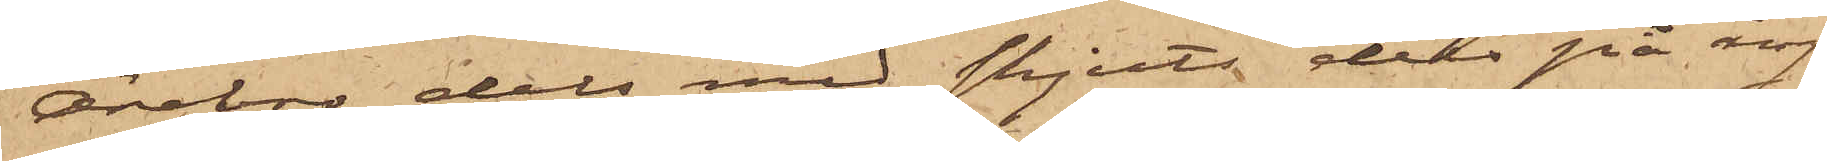Örebro dels med skjuts dels på ång¬
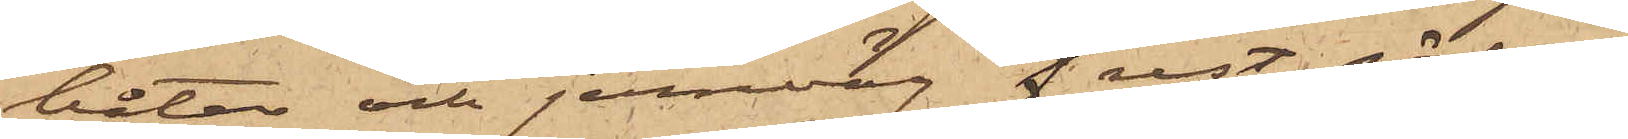båtar och jernväg f rest. söderut
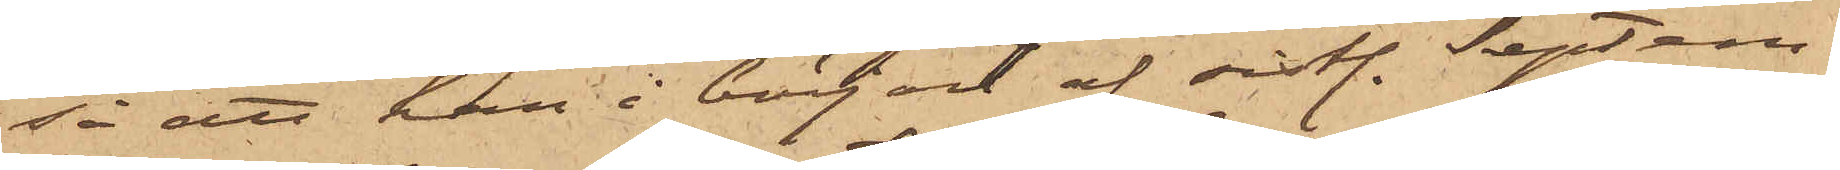så att han i början af sistl. Septem¬
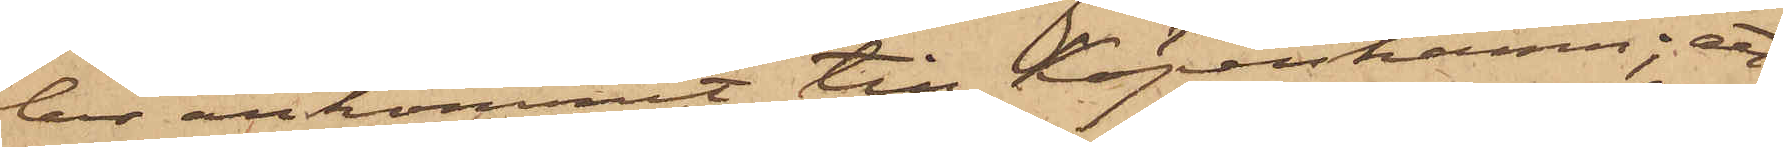ber ankommit till Köpenhamn; att
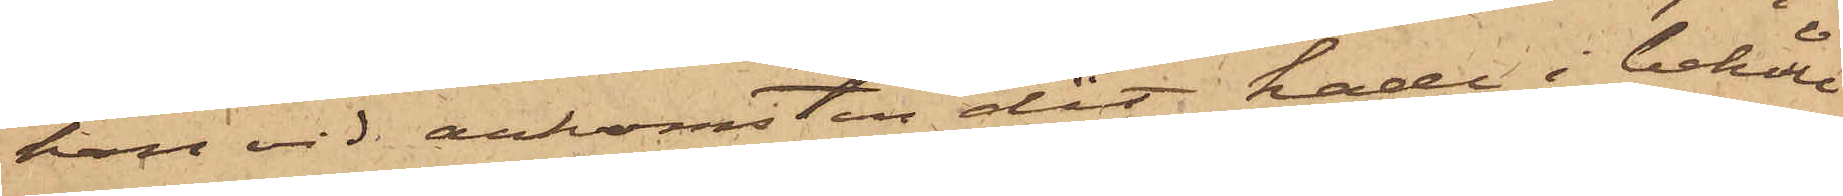han vid ankomsten dit hade i behåll
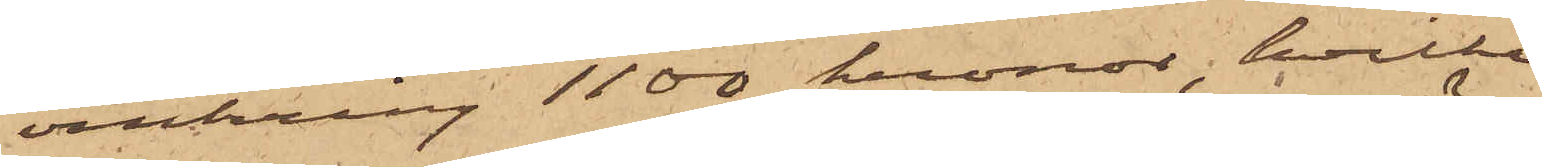omkring 1100 kronor, hvilka
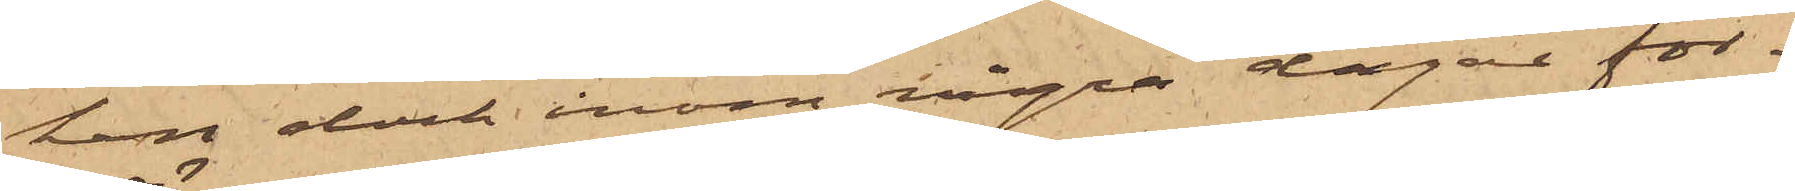han dock inom några dagar för¬
